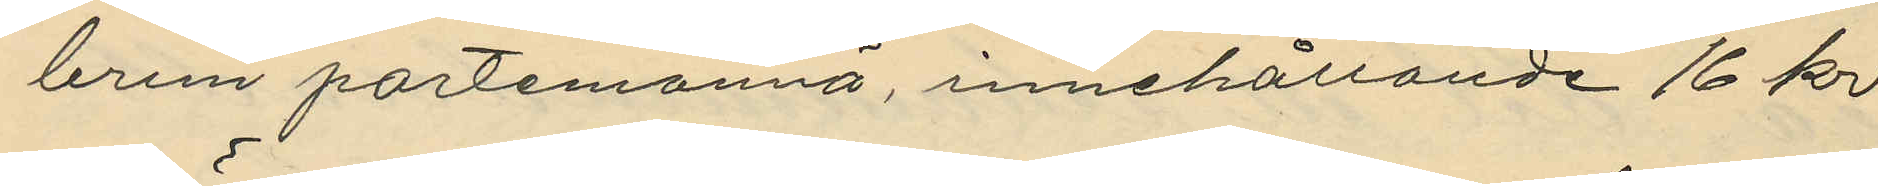brun portemonnä, innehållande 16 kr
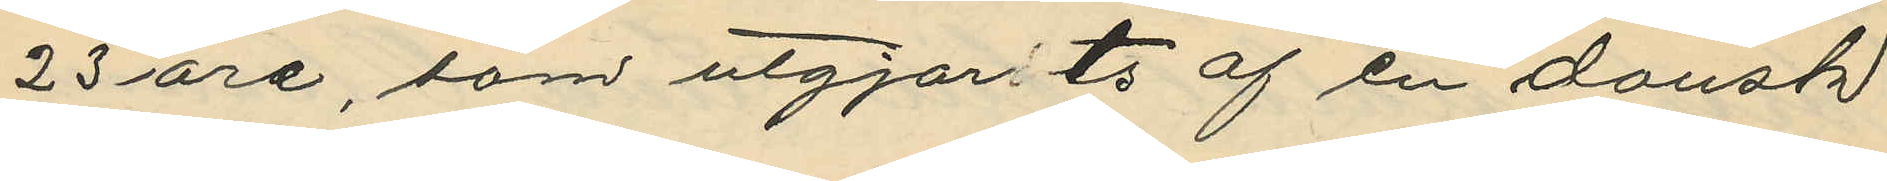23 öre, som utgjorts af en dansk
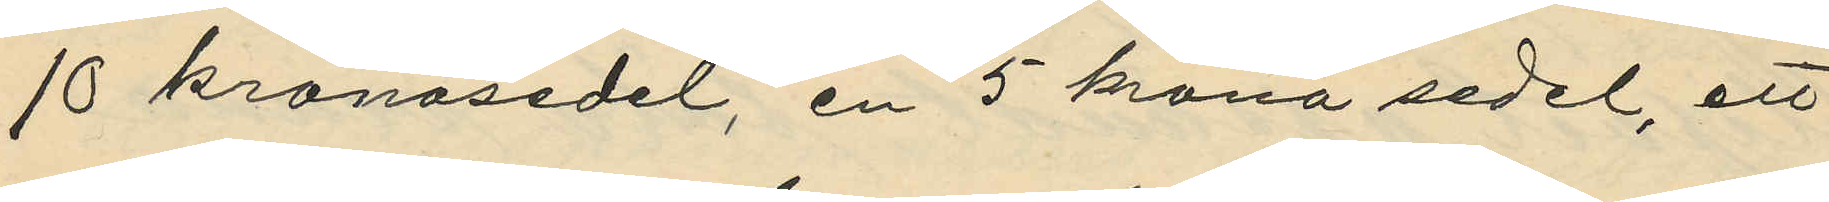10 kronasedel, en 5 krona sedel, ett
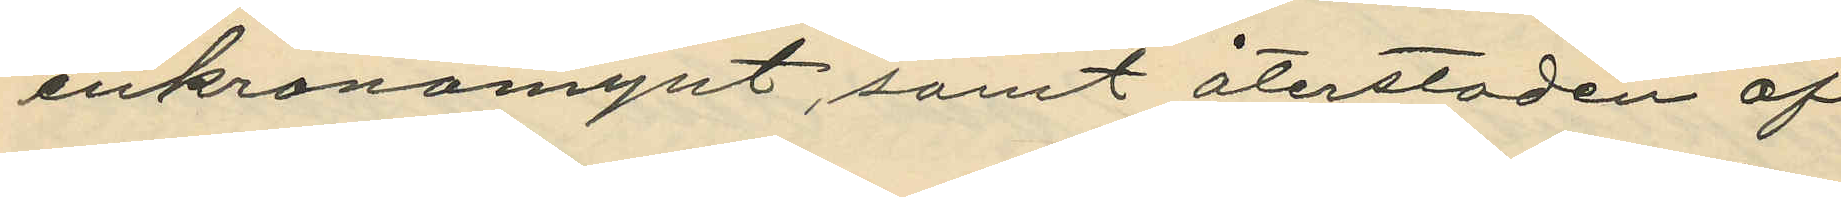enkronamynt, samt återstoden af
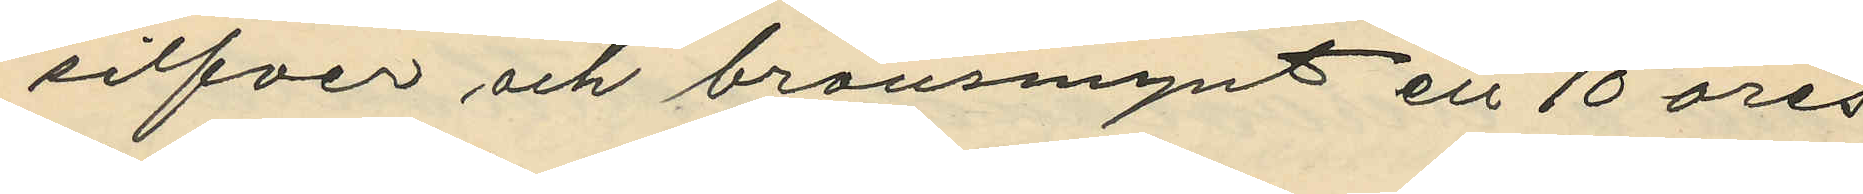silfver och bronsmynt ett 10 öres
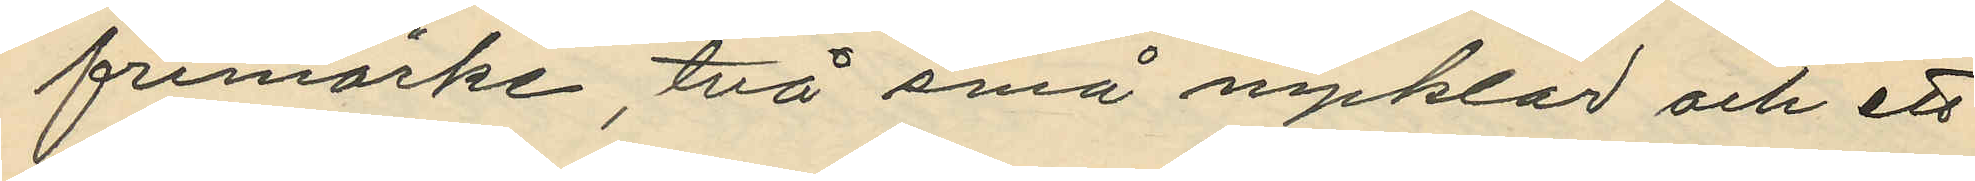frimärke , två små nycklar och ett
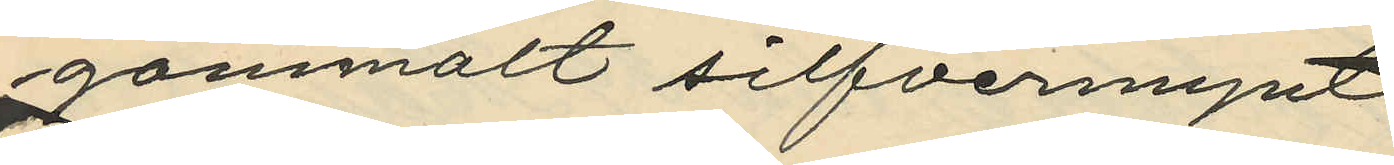gammalt silfvermynt.
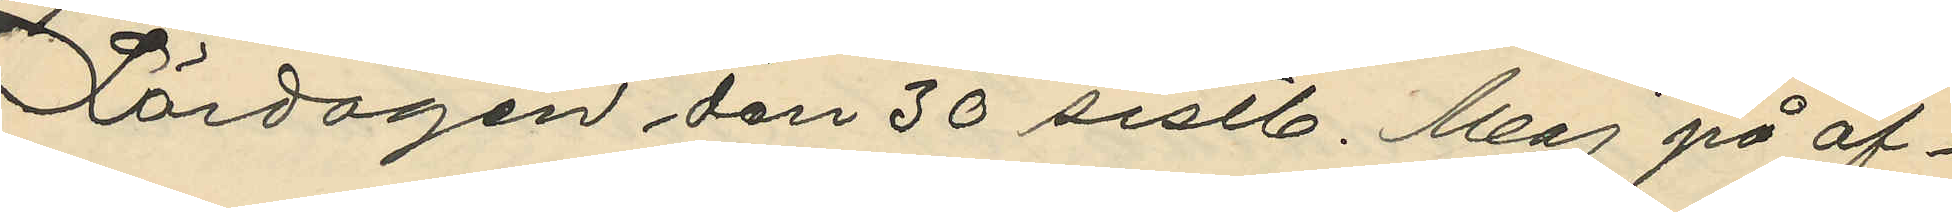Lördagen den 30 sistl. Maj på af¬
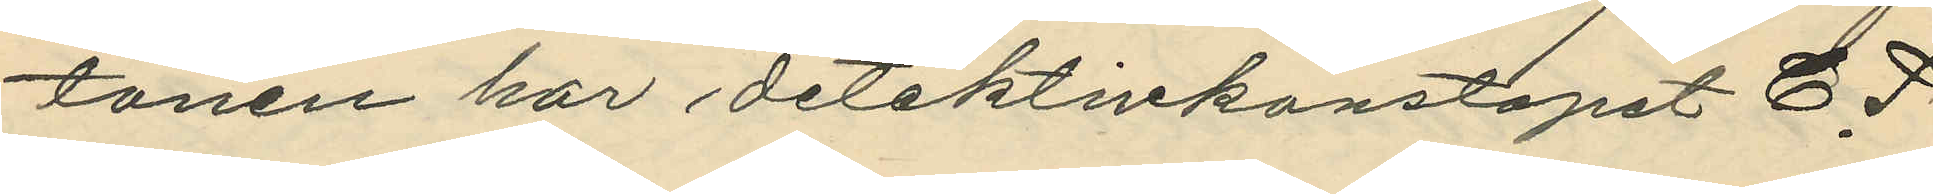tonen har detektivkonstapet C. P.
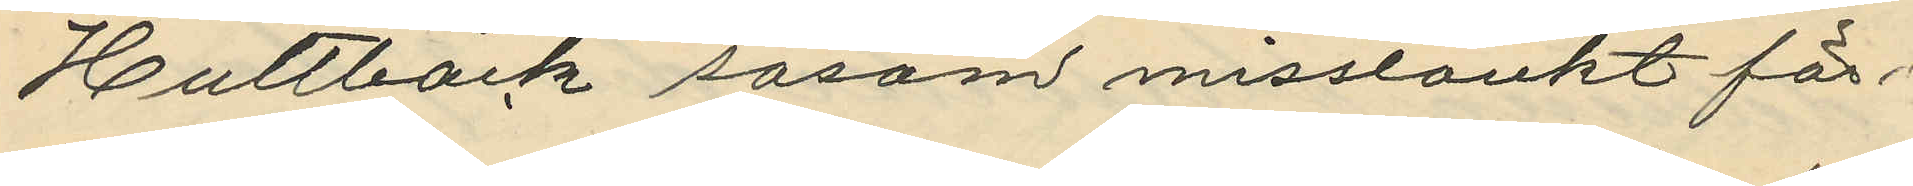Hultbäck såsom misstänkt för 
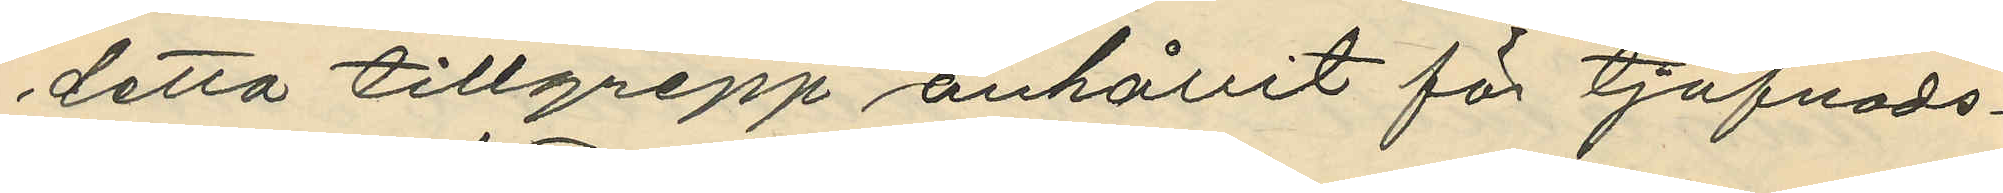detta tillgrepp anhållit för tjufnads¬
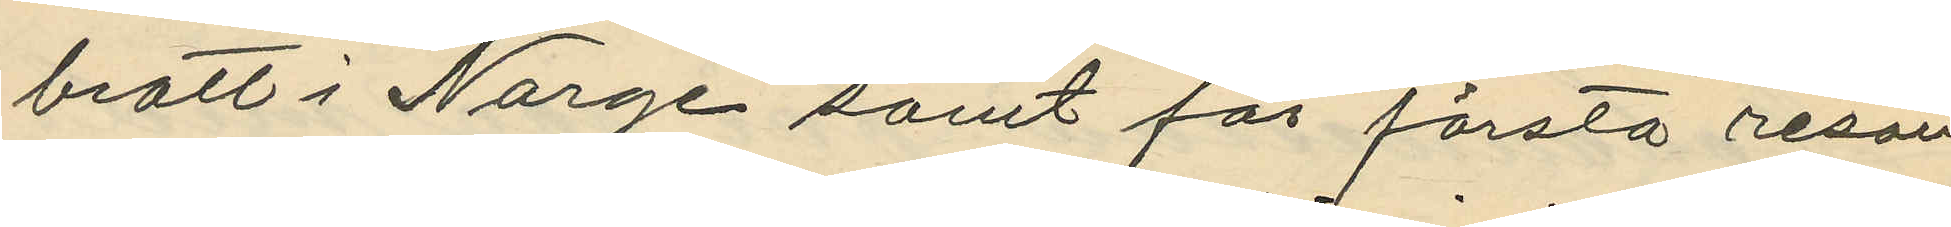brott i Norge samt för första resan
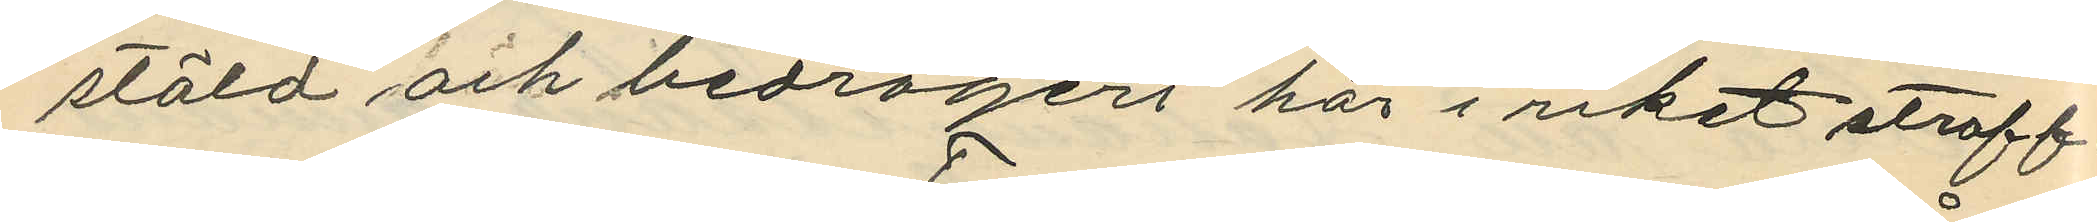stöld och bedrägeri här i riket straff¬
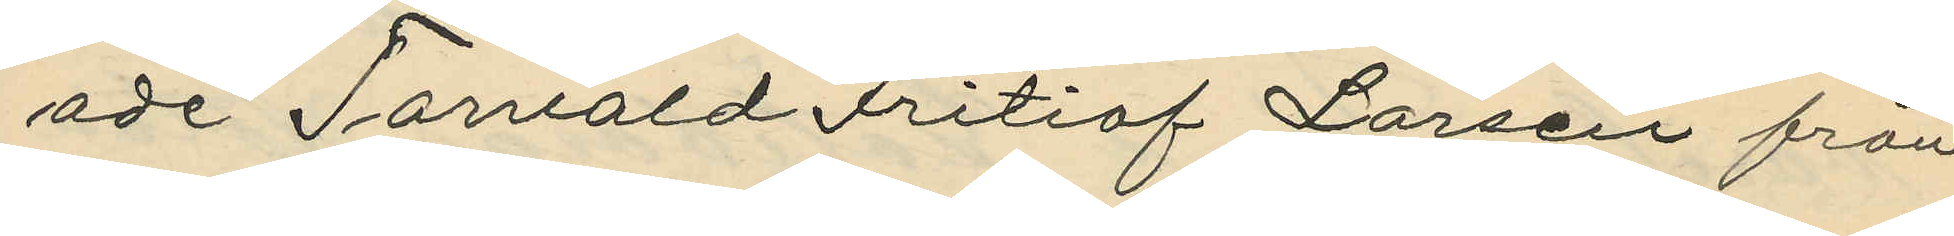ade Torvald Fritiof Larsen från
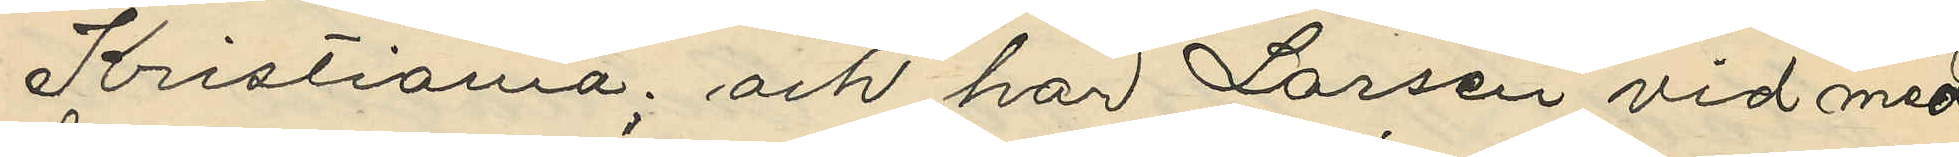Kristiania; och har Larsen vid med
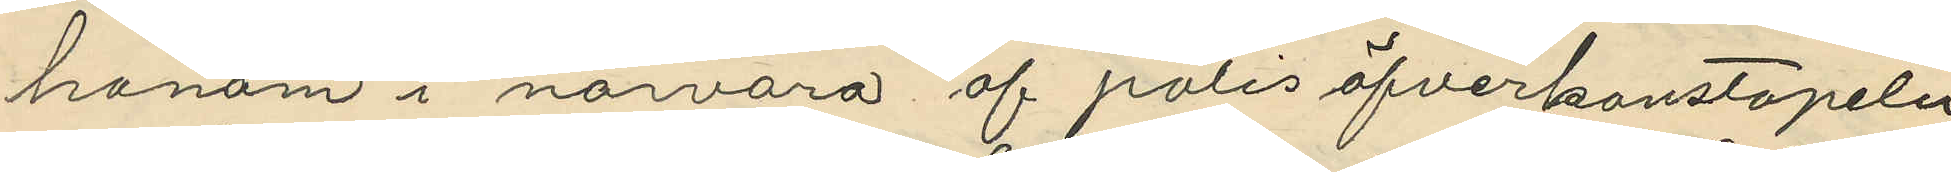honom i närvaro af polisöfverkonstapeln
